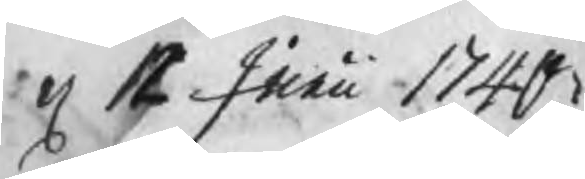d 12 Junii 1740
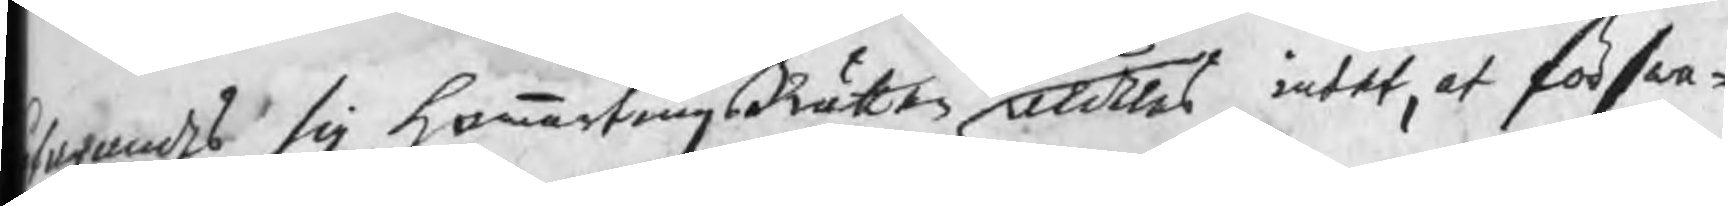tagandes sig hammartingsRätten aldeles intet, at förswa¬
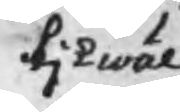likwäl
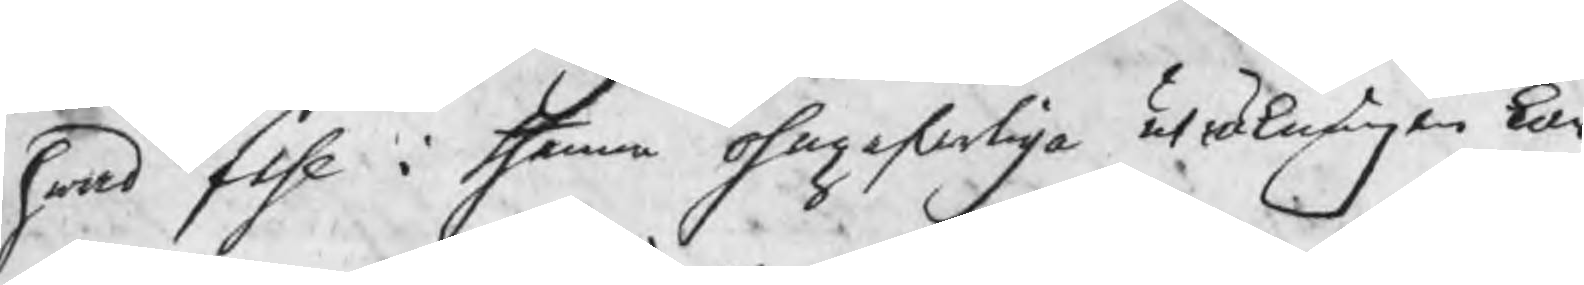hwad fehl i thenna ohngerferliga uträkningen kan
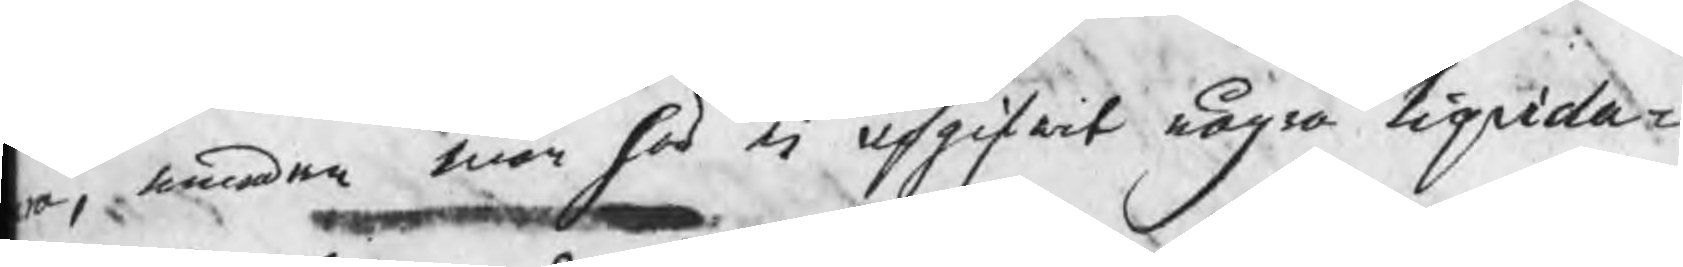ra, emedan man här ej upgifwit några liqvida¬
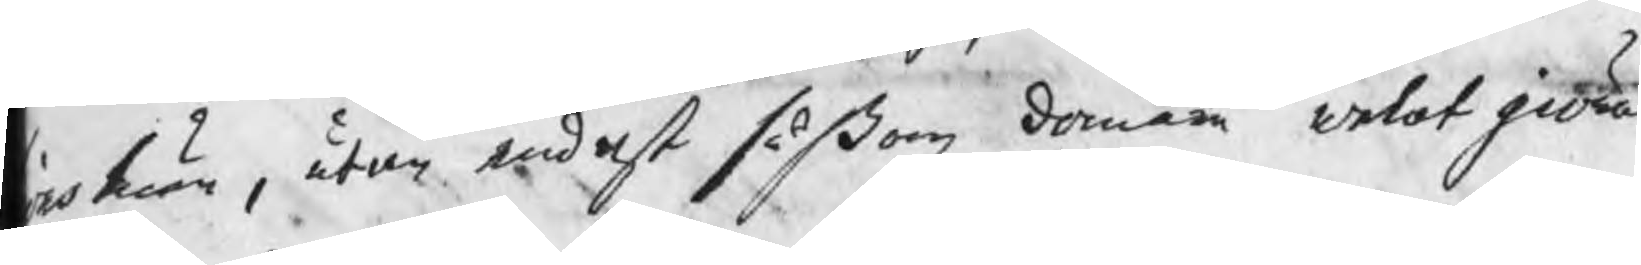nsmån, utan endast såsom domare welat giöra
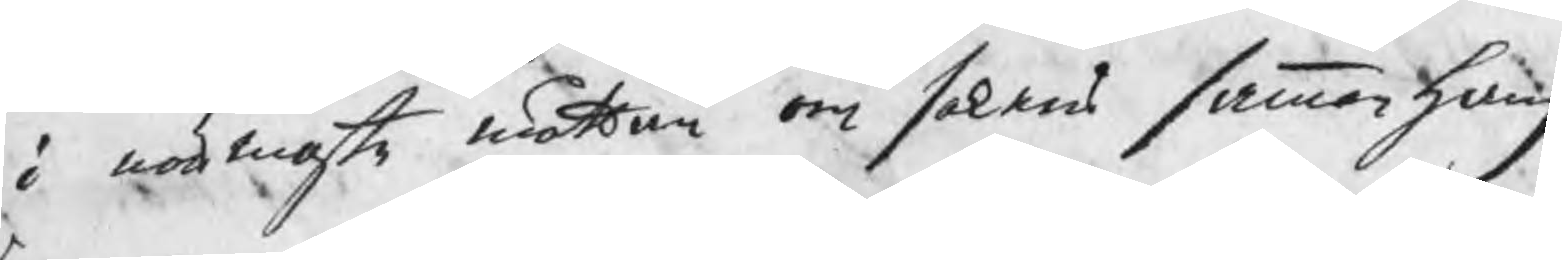g i närmaste måttan om sakens sammanhang
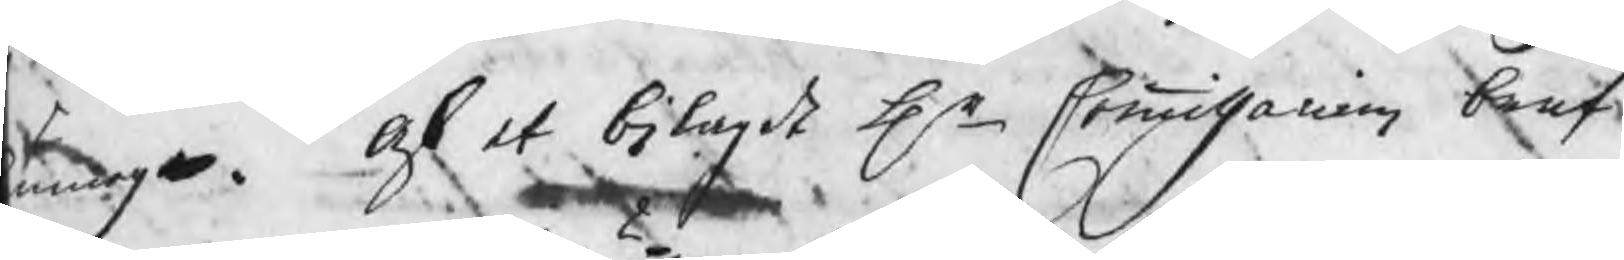unnig.  Af et bilagdt Hr Commissarien bref
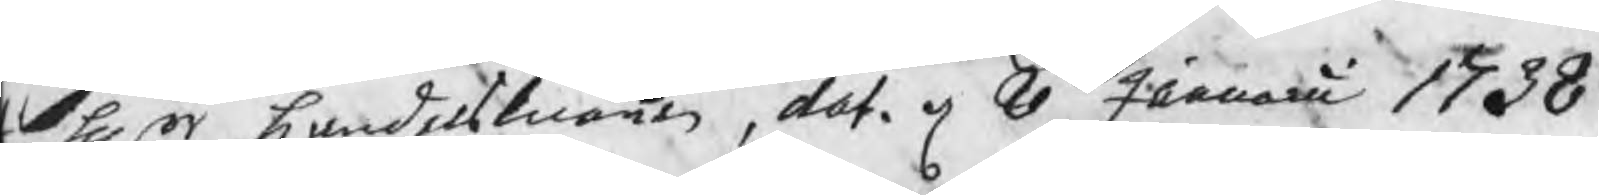l Hrr handelsmännen, dat. d 8 Januarii 1738,
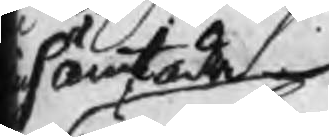hämtade
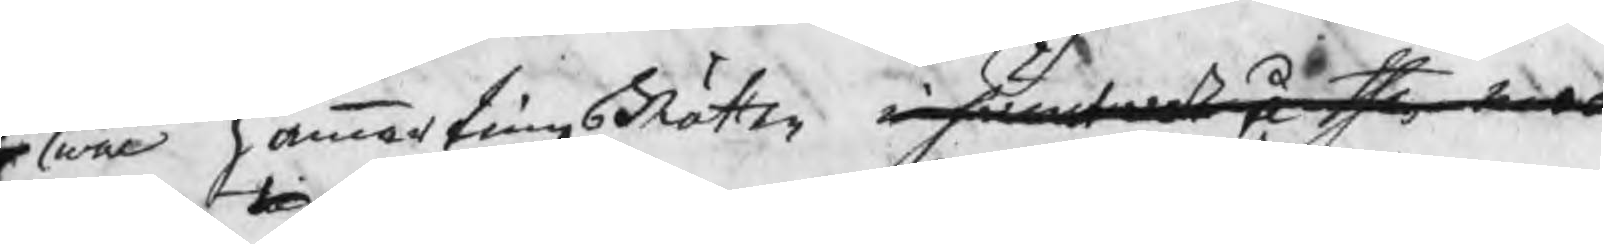wäl hammartingsRätten inhämtade å then mera
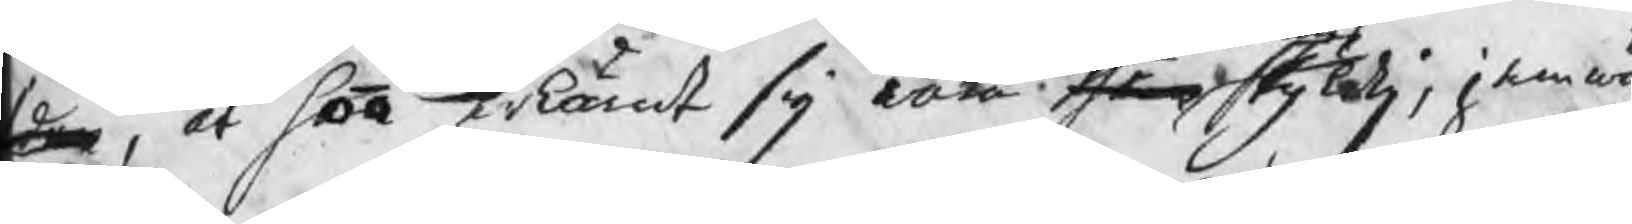den, at han erkänt sig vara them skyldig, jemwäl
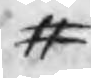#
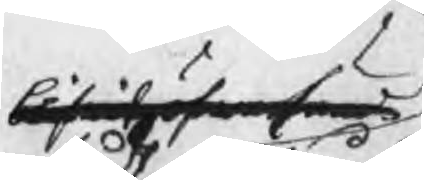blifwit öfwersänd
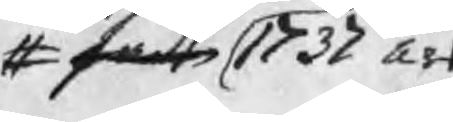# fådt 1737 års
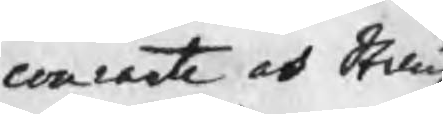contante och Stång¬
